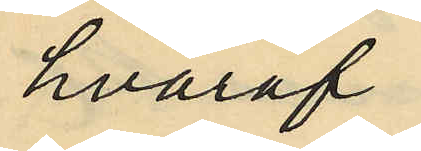hvaraf
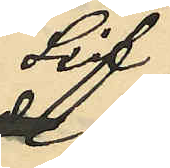Lif
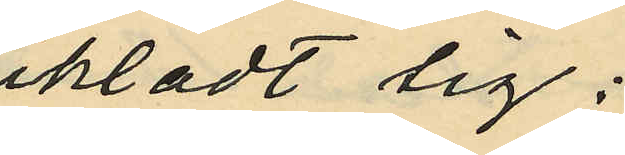iklädt sig:
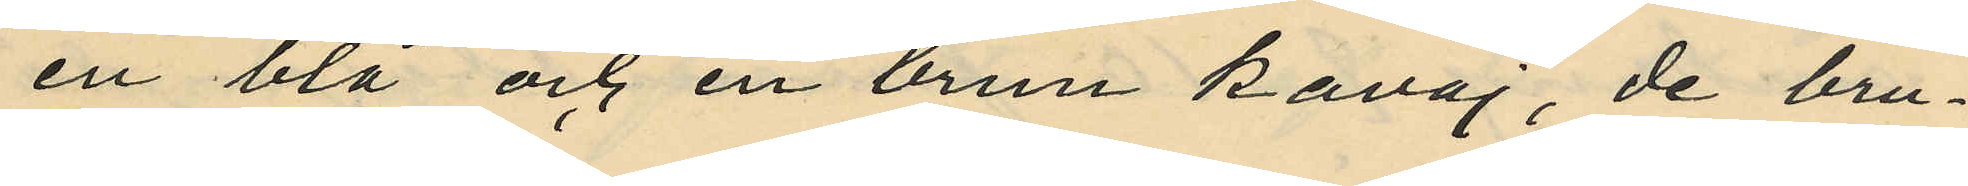en blå och en brun kavaj, de bru¬
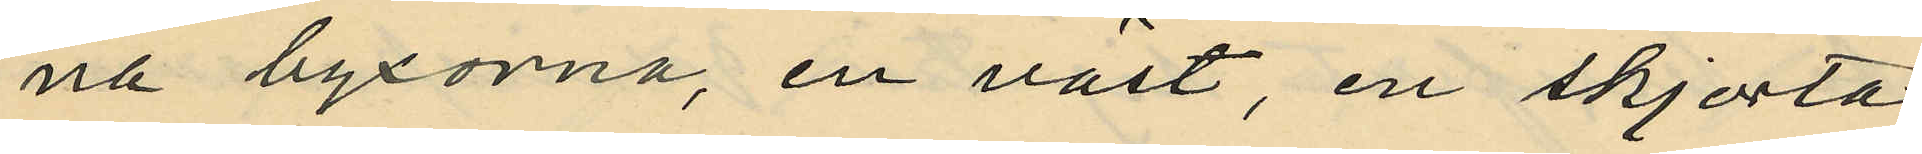na byxorna, en väst, en skjorta,
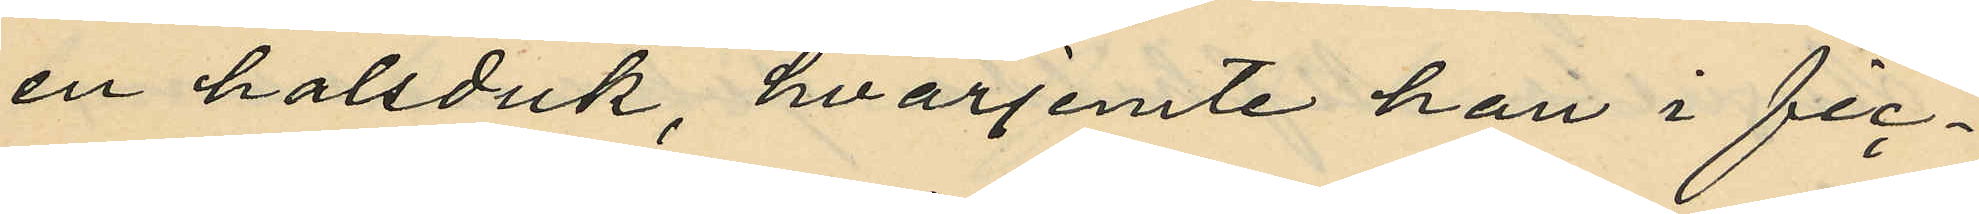en halsduk, hvarjemte han i fic¬
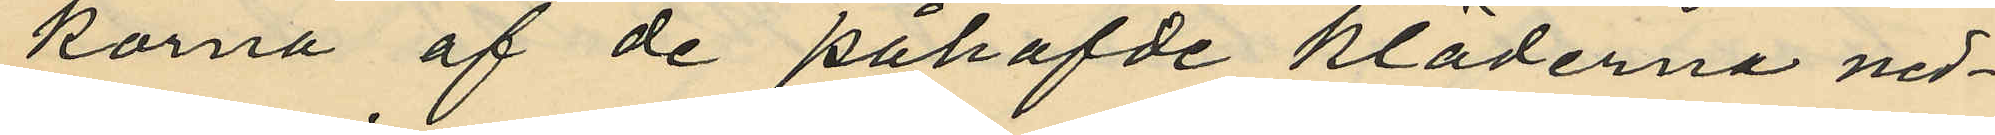korna af de påhafvde kläderna ned¬
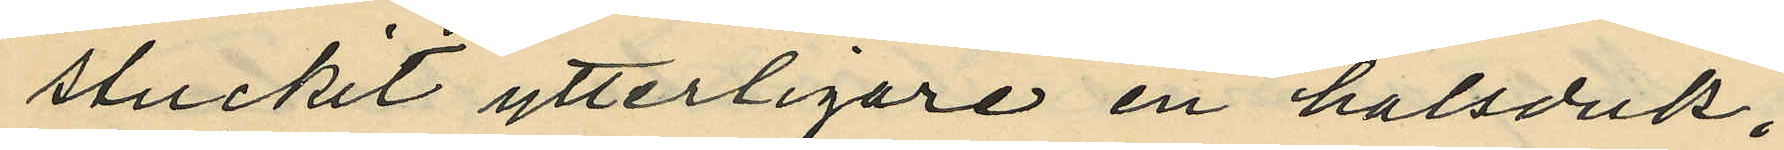stuckit ytterligare en halsduk,
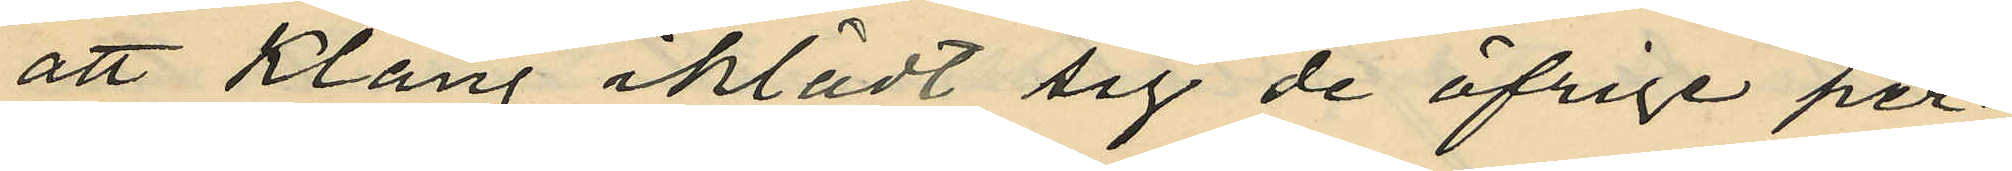att Klang iklädt sig de öfrige per¬
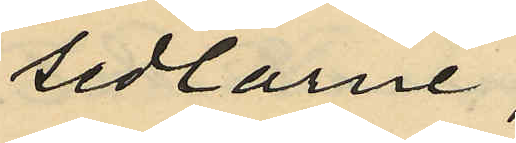sedlarne,
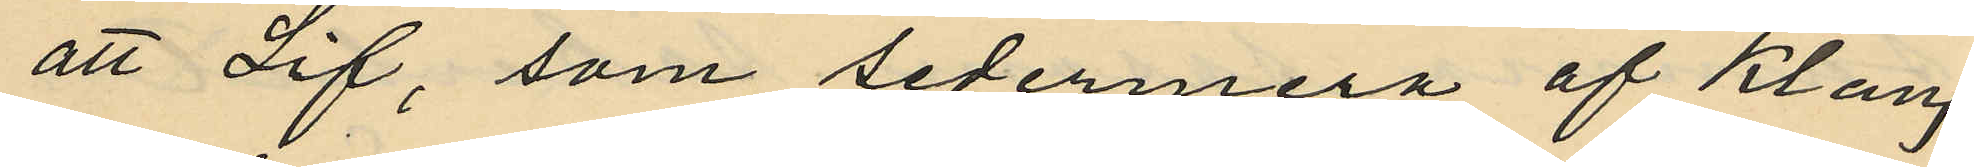att Lif, som sedermera af Klang
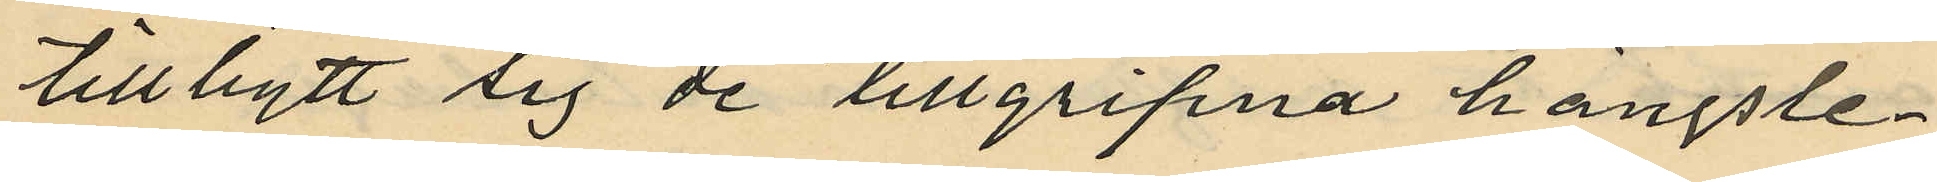tillbytt sig de tillgripna hängsle¬
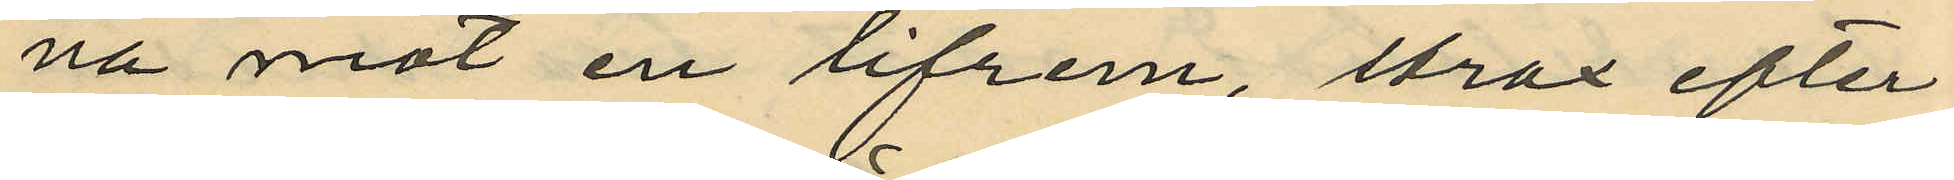na mot en lifrem, strax efter
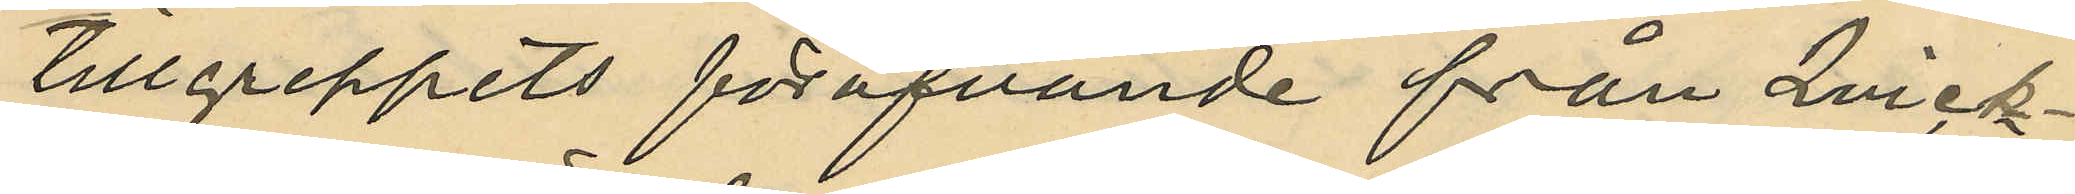tillgreppets föröfvande från Qvick¬
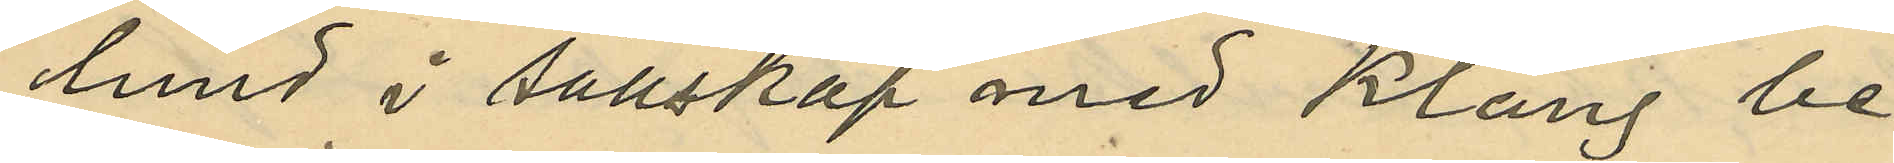lund i sällskap med Klang be¬
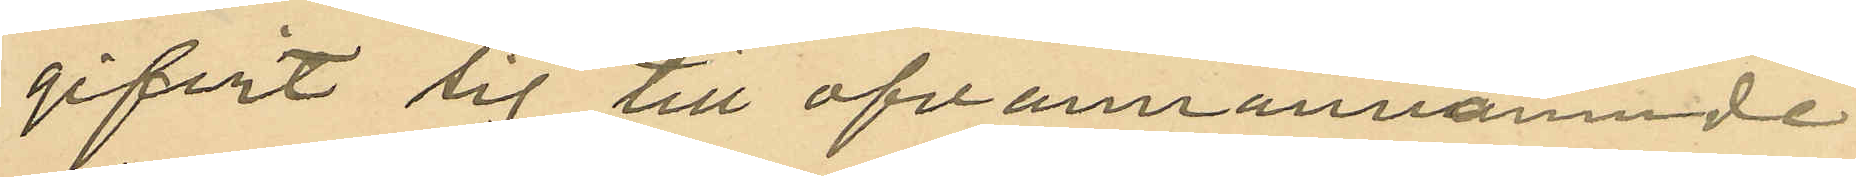gifvit sig till ofvamannämnde
